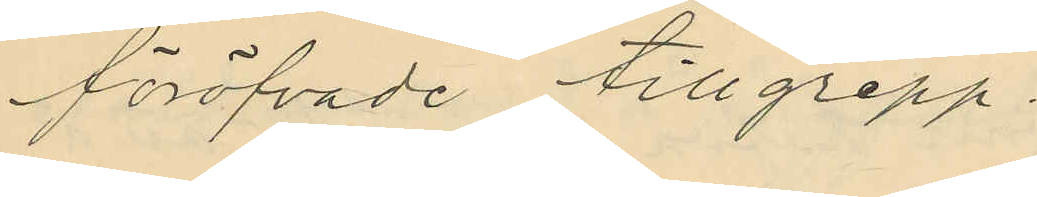föröfvade tillgrepp.
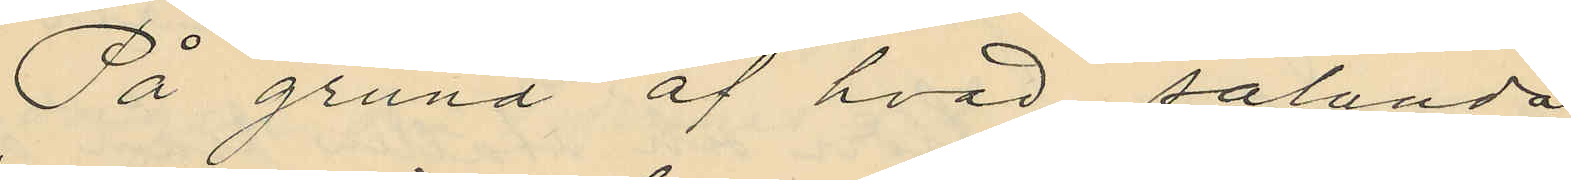På grund af hvad sålunda
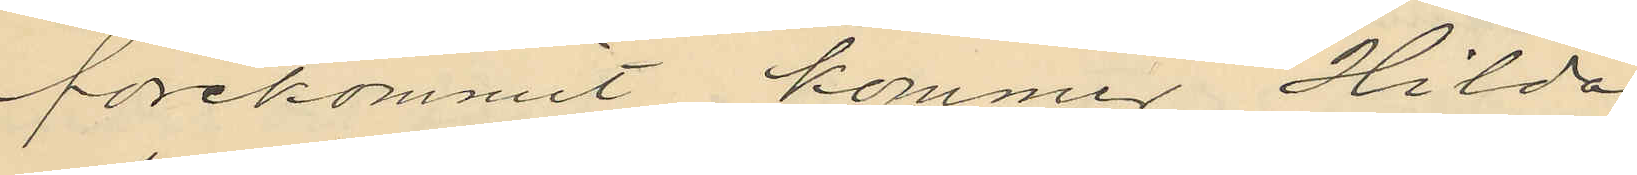förekommit kommer Hilda
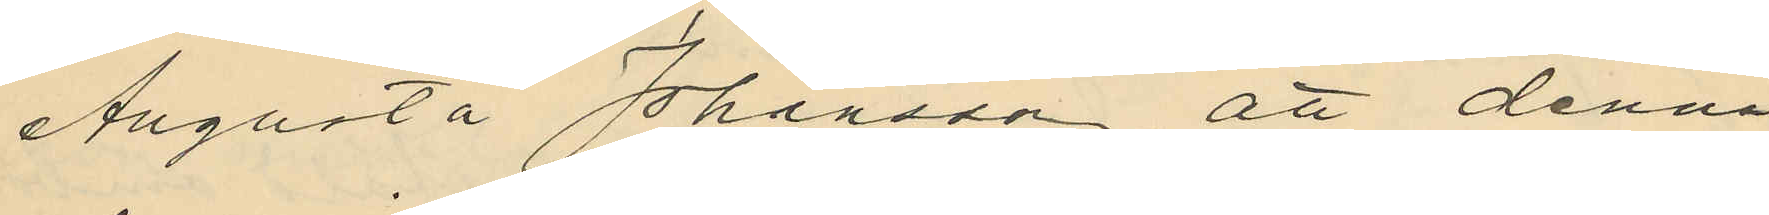Augusta Johansson att denna
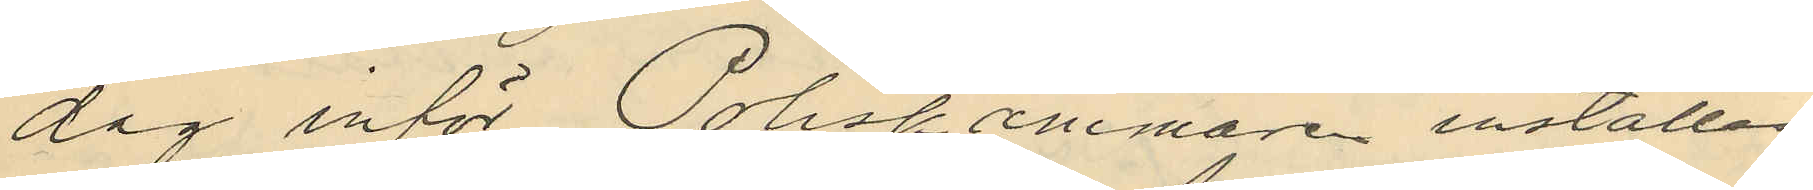dag inför Poliskammare inställas.
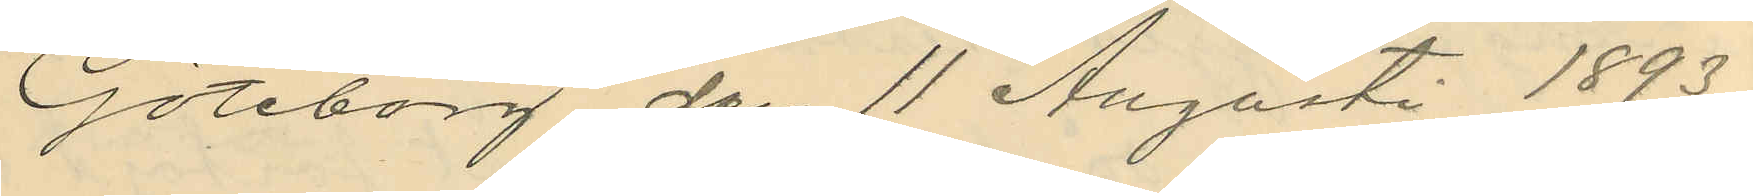Göteborg den 11 Augusti 1893.
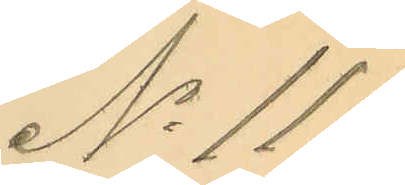No 111.
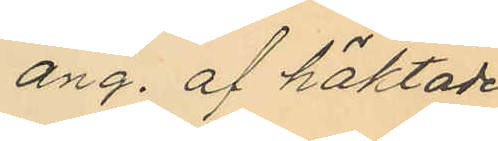ang. af häktade
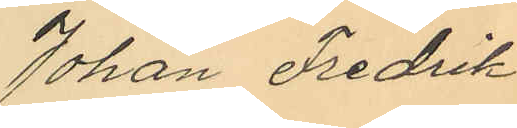Johan Fredrik
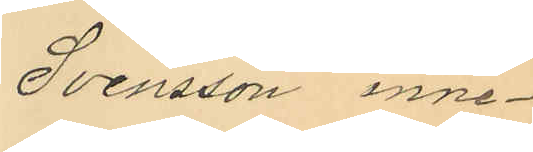Svensson inne¬
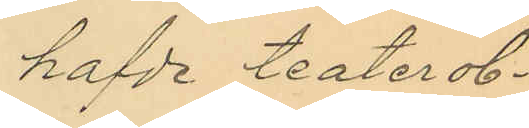hafde teaterob¬
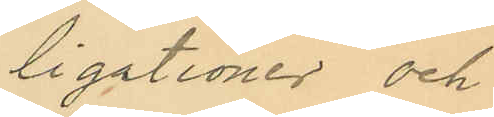ligationer och
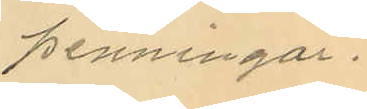penningar.
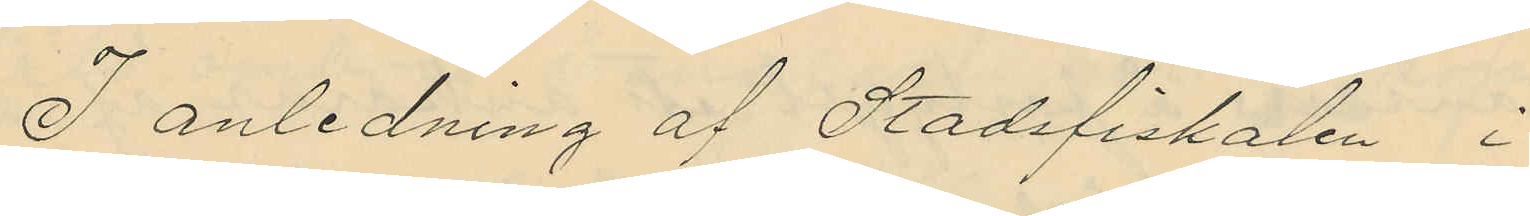I anledning af Stadsfiskalen i
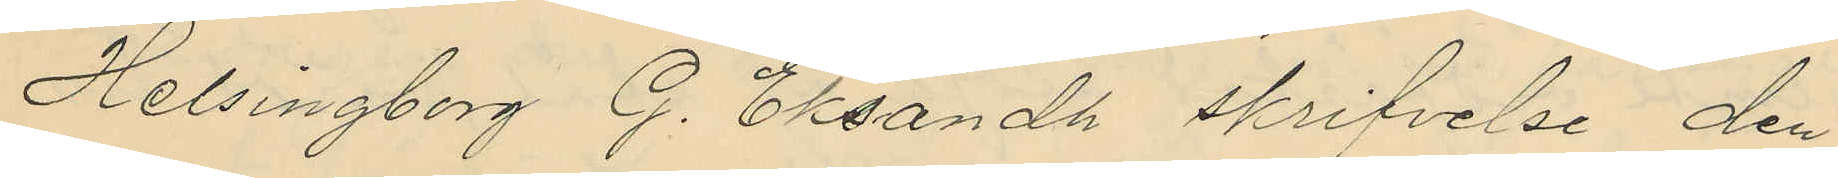Helsingborg G. Eksandh skrifvelse den
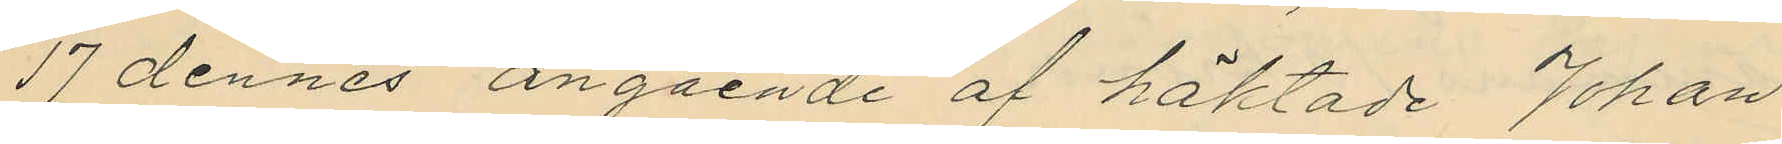17 dennes angående af häktade Johan
